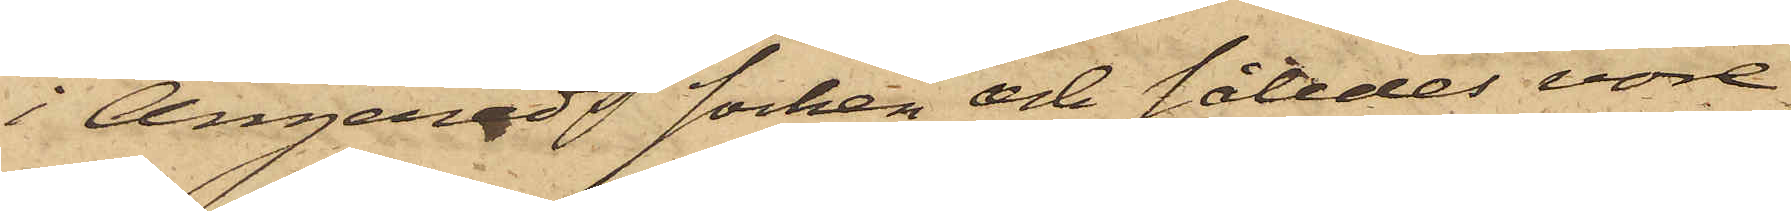i Angereds Socken och således vore
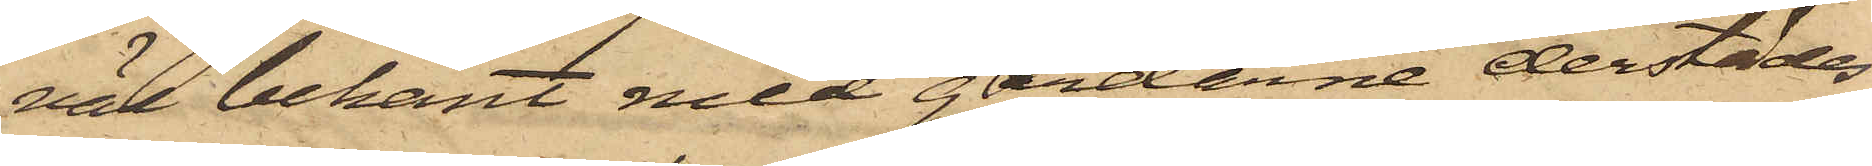väl bekant med gårdarne derstädes,
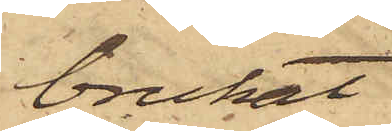brukat
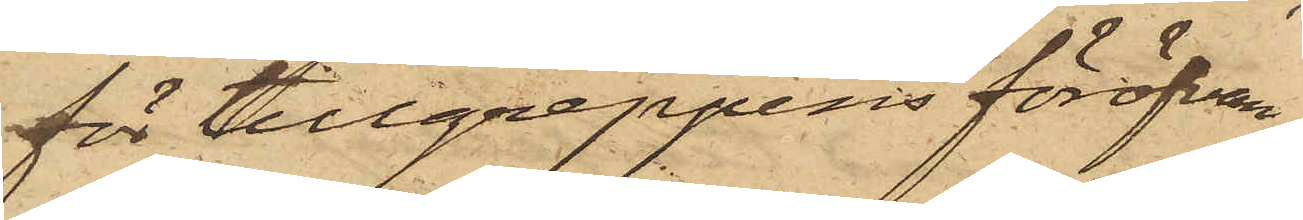för tillgreppens föröfvan¬
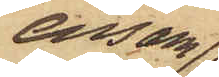ensam
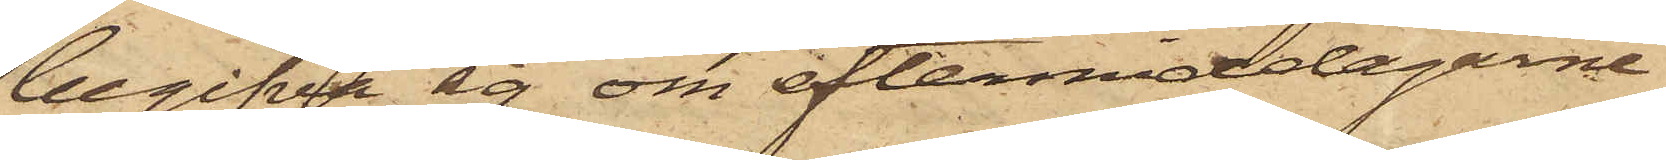begifva sig om eftermiddagarne
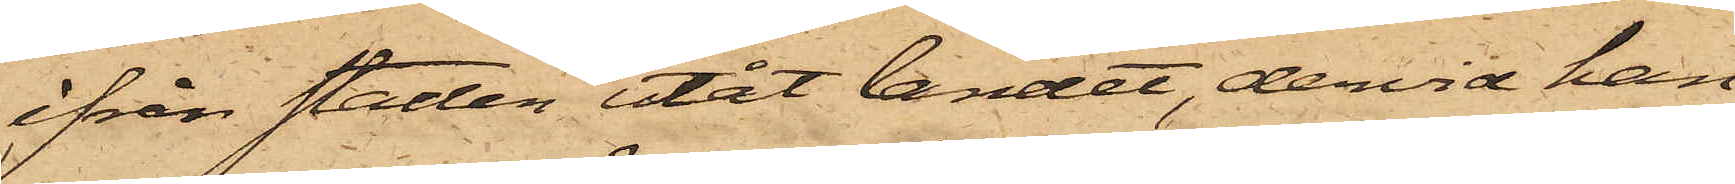ifrån staden utåt landet, dervid han
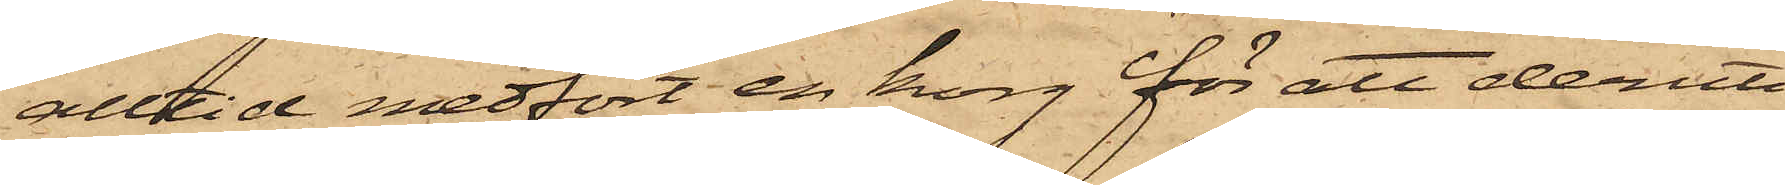alltid medfört en korg för att deruti
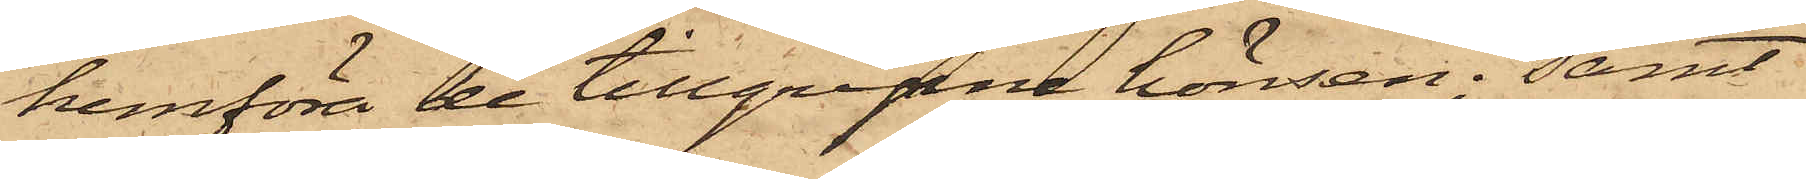hemföra de tillgripne hönsen; samt
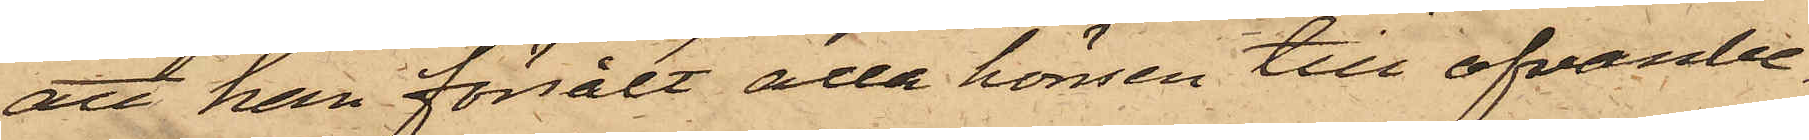att han försålt alla hönsen till ofvanbe¬
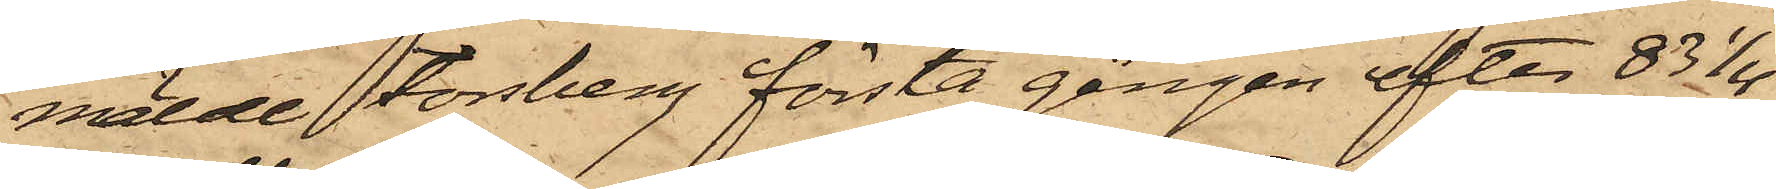mälde Forsberg första gången efter 83 1/4 
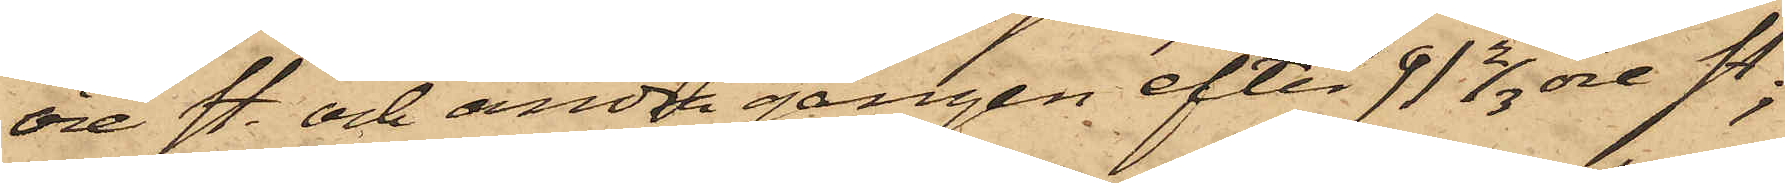öre st. och andra gången efter 91 2/3 öre st;
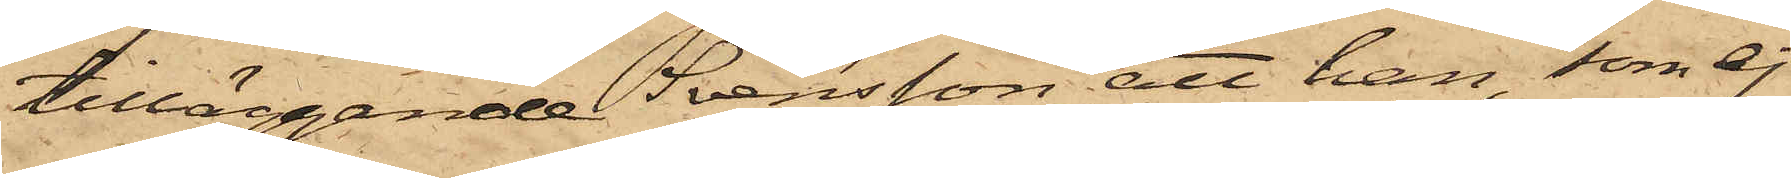tilläggande Svensson att han, som ej
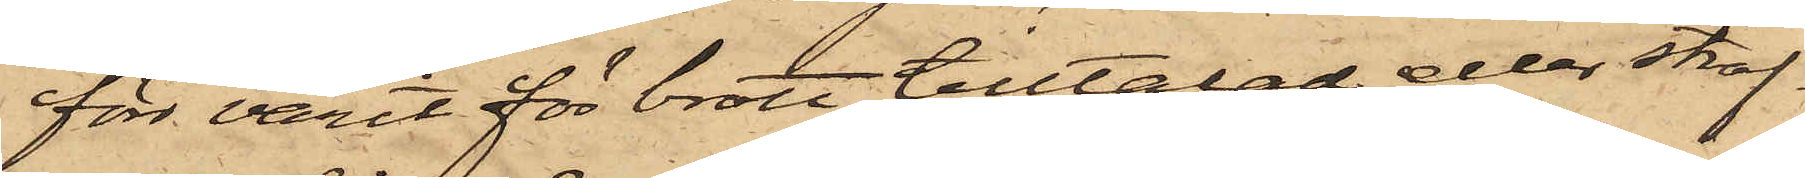förr varit för brott tilltalad eller straf¬
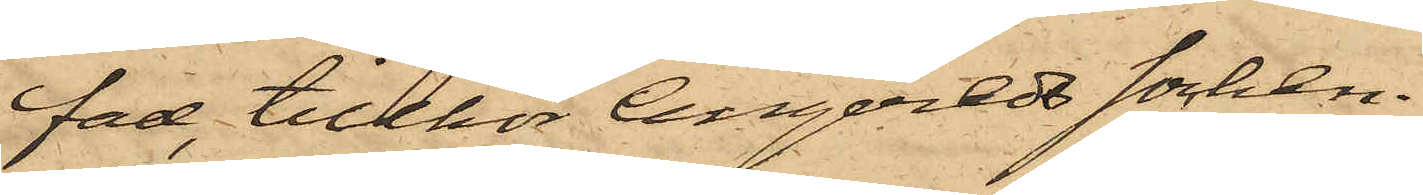fad, tillhör Angereds socken.
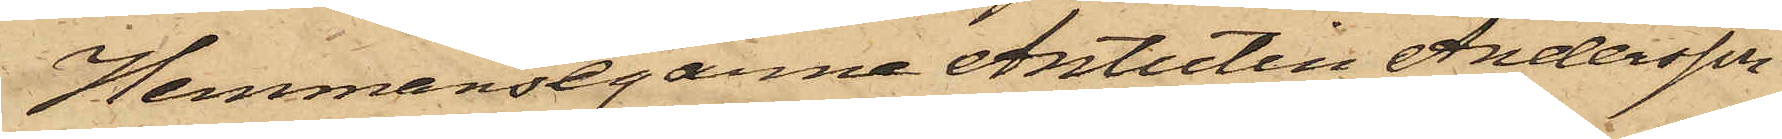Hemmansegarne Antutin Andersson
